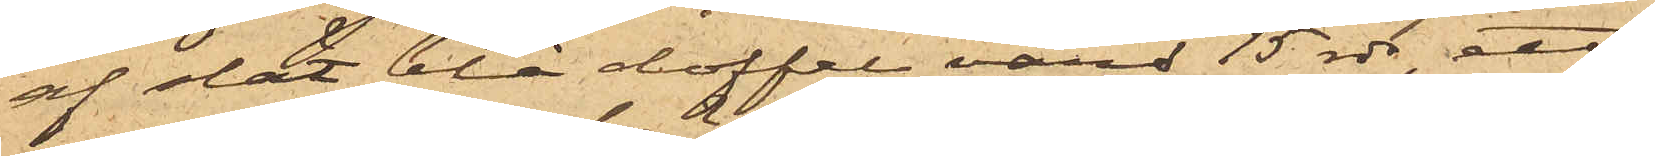af slät blå doffel värd 15 rdr, ett
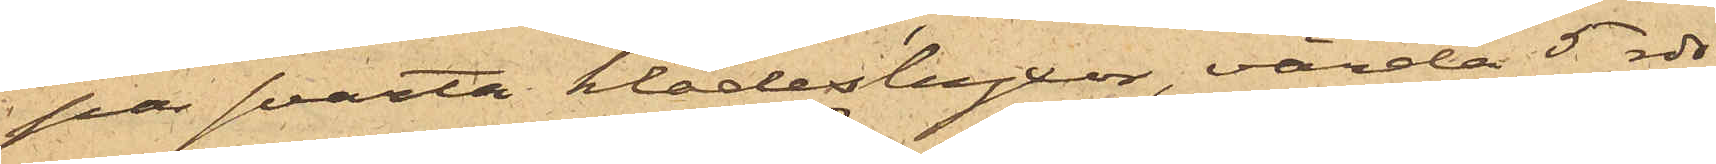par svarta klädesbyxor, värda 5 rdr
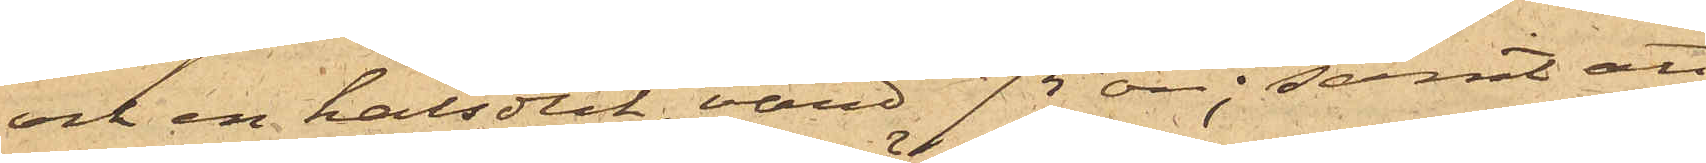och en halsduk, värd 75 öre; samt att
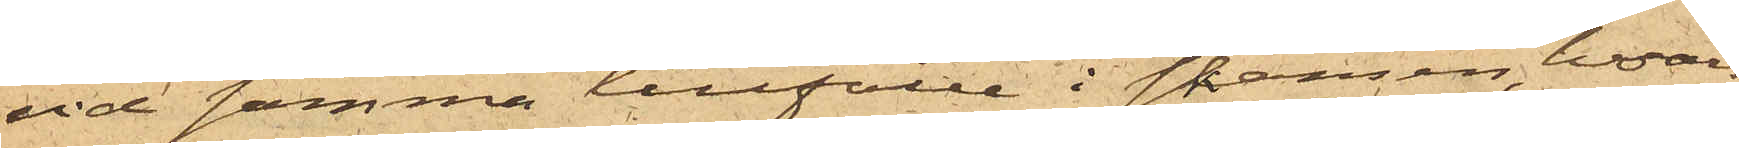vid samma tillfälle i skansen, hvars
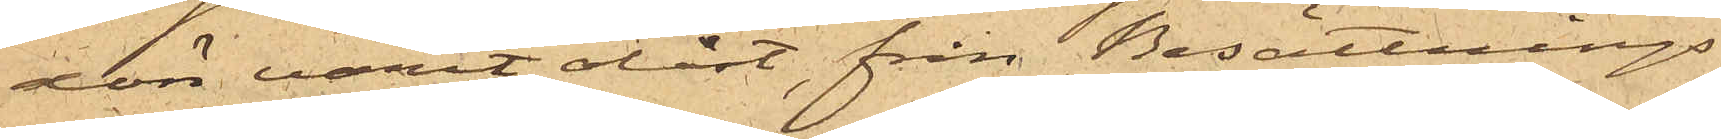dörr varit olåst, från Besättnings¬
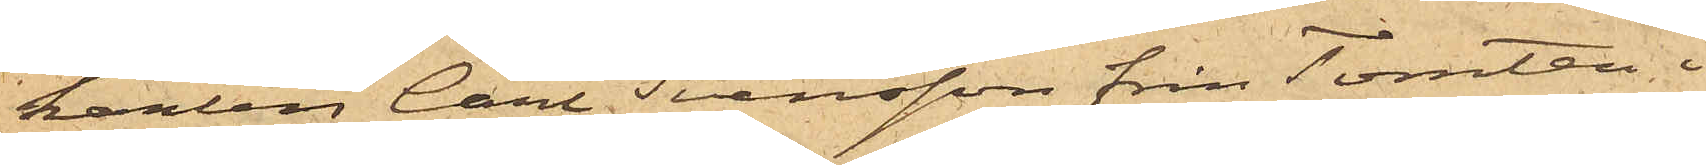karlen Carl Svensson från Tomten i
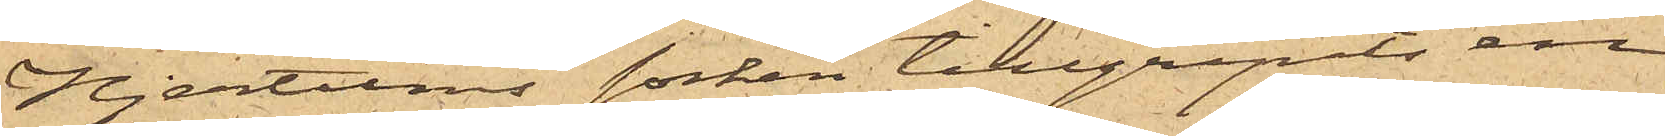Hjertums socken tillgripits en
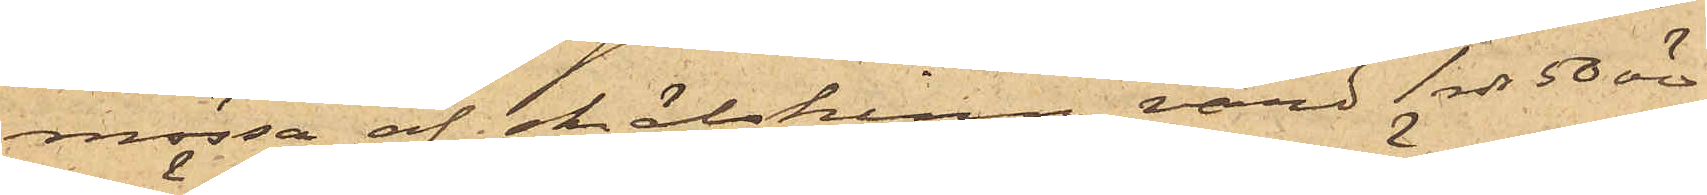mössa af skälskinn, värd 1 rdr 50 öre,
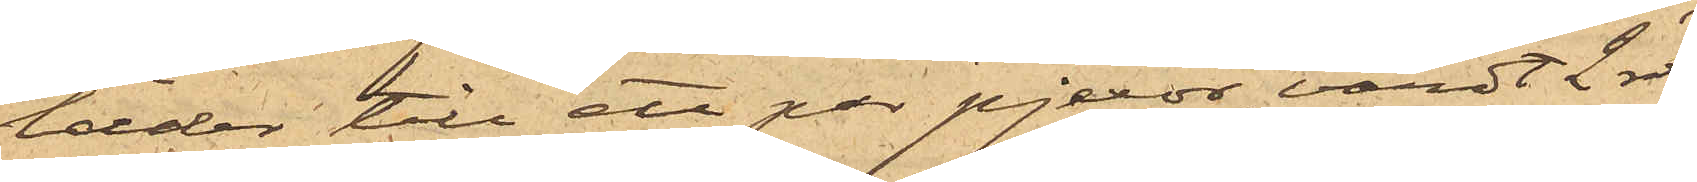läder till ett par pjexor, värdt 2 rdr,
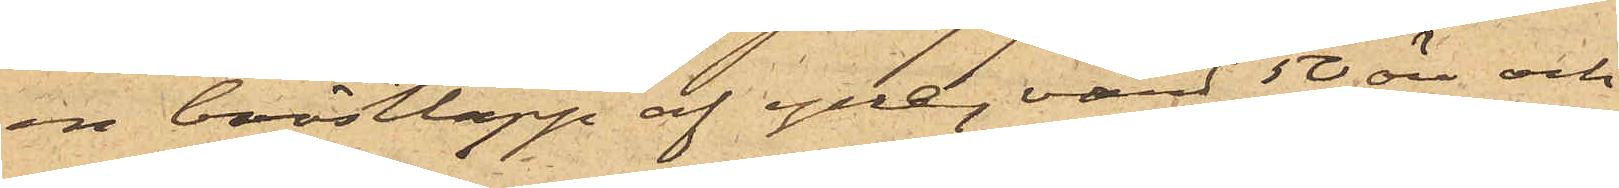en bröstlapp af ylle, värd 50 öre och
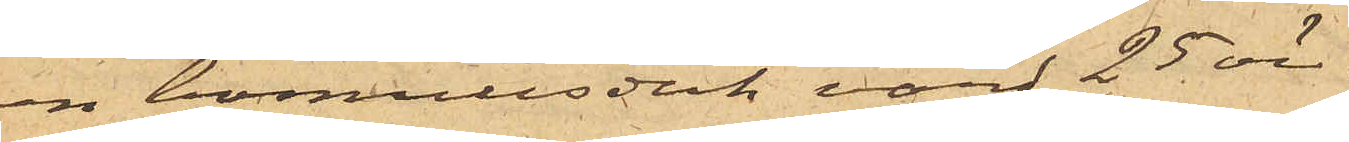en bomullsduk värd 25 öre.
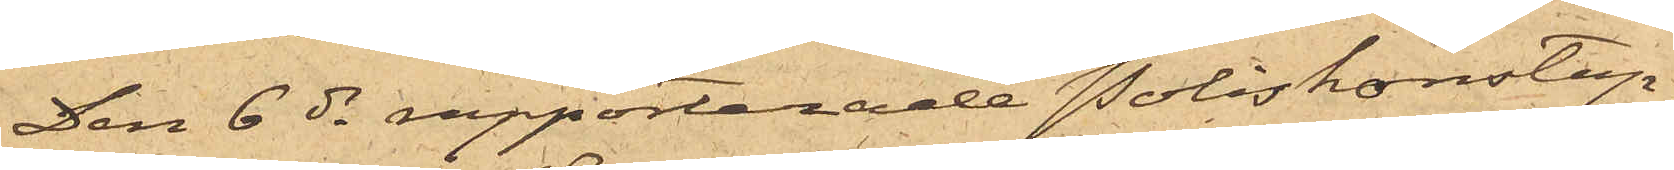Den 6 ds rapporterade Poliskonstap¬
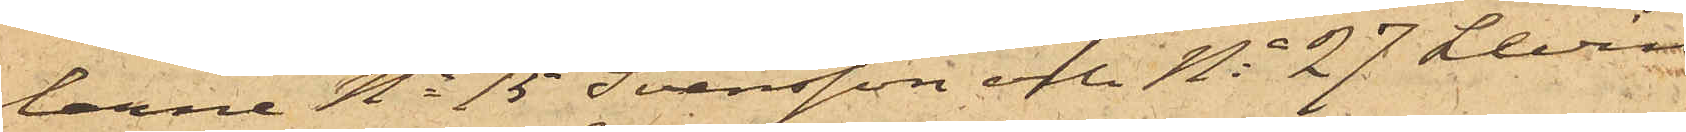larne No 15 Svensson och No 27 Levin
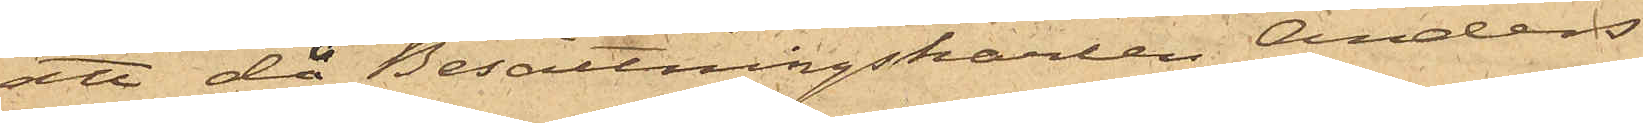att då Besättningskarlen Anders
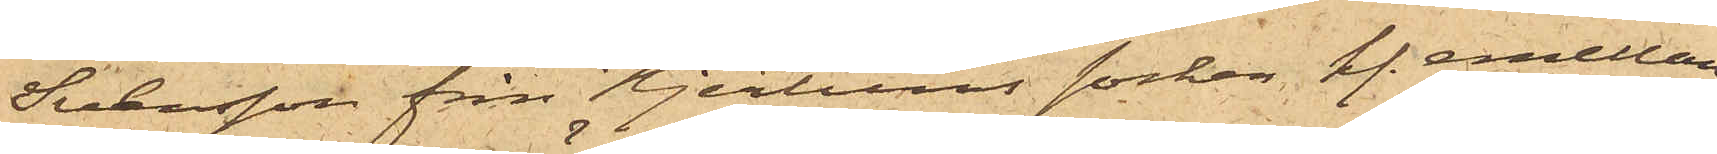Svensson från Hjertums socken kl. emellan
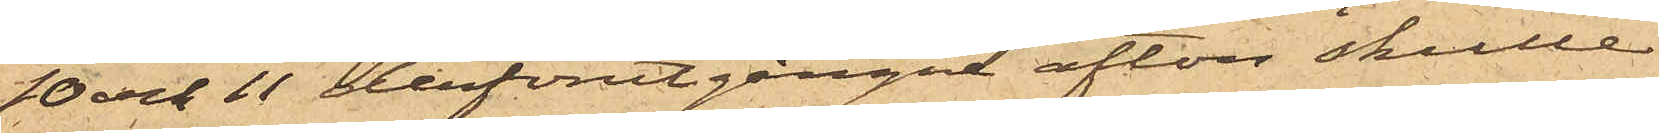10 och 11 derförutgångnne afton skulle
